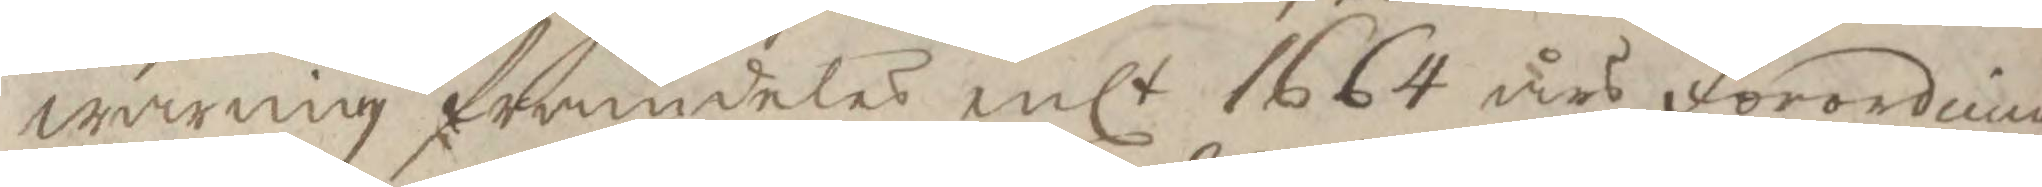warnig framdeles enlt 1664 års förordnin 
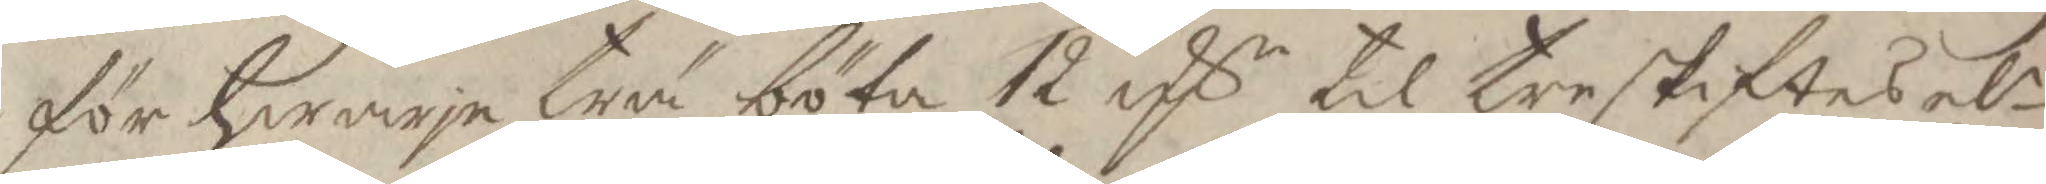för hwarje trä böta 12 Rs til treskiftes elr 
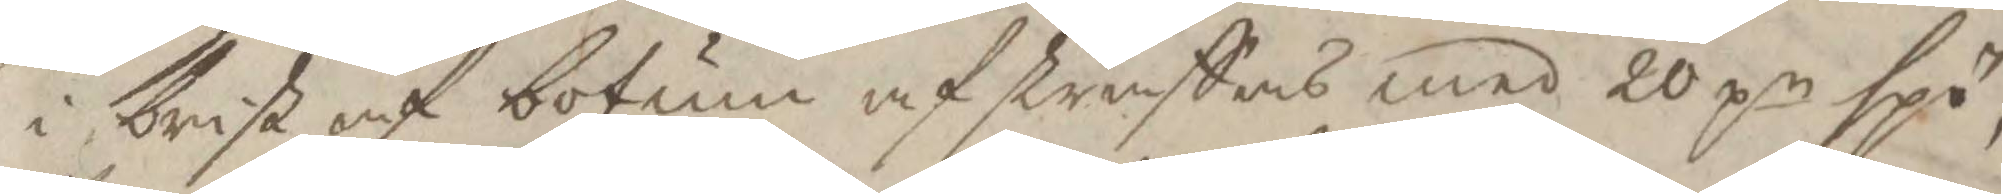i brist af botum afstraffas med 20 pr spö,
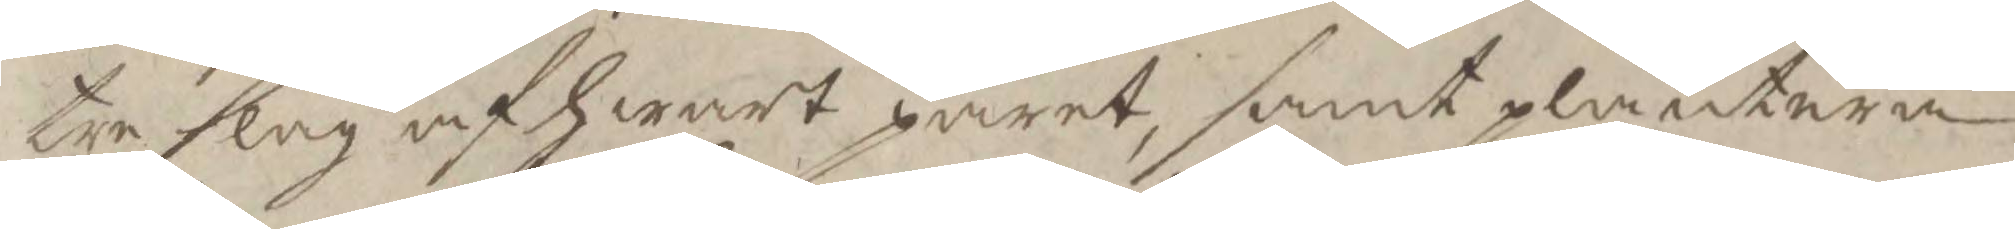tre slag af hwart paret, samt plantera
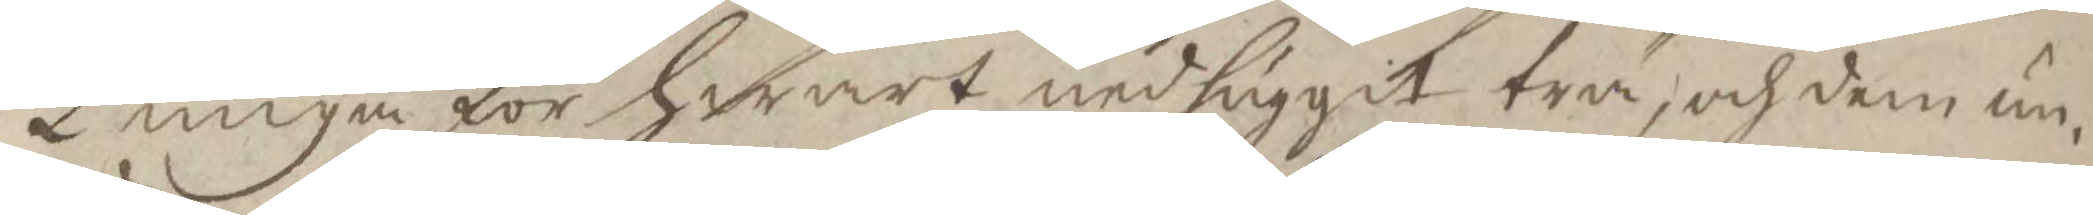2 unga för hwart nedhuggit trä, och dem un¬
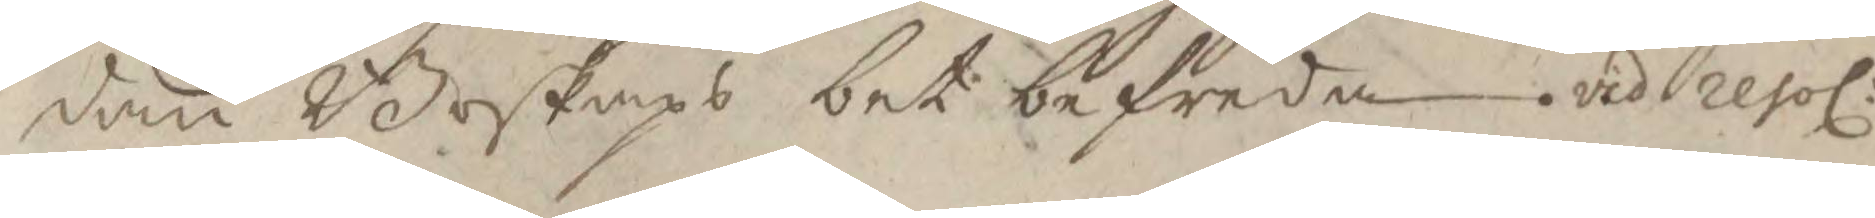dan Boskaps bet befreda. vid resol: 
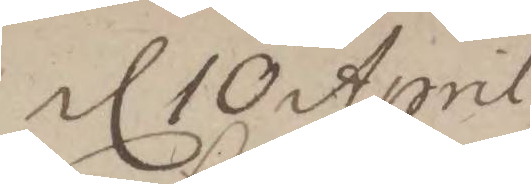d 10 April 
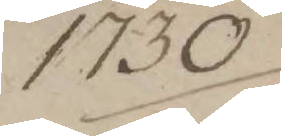1730 
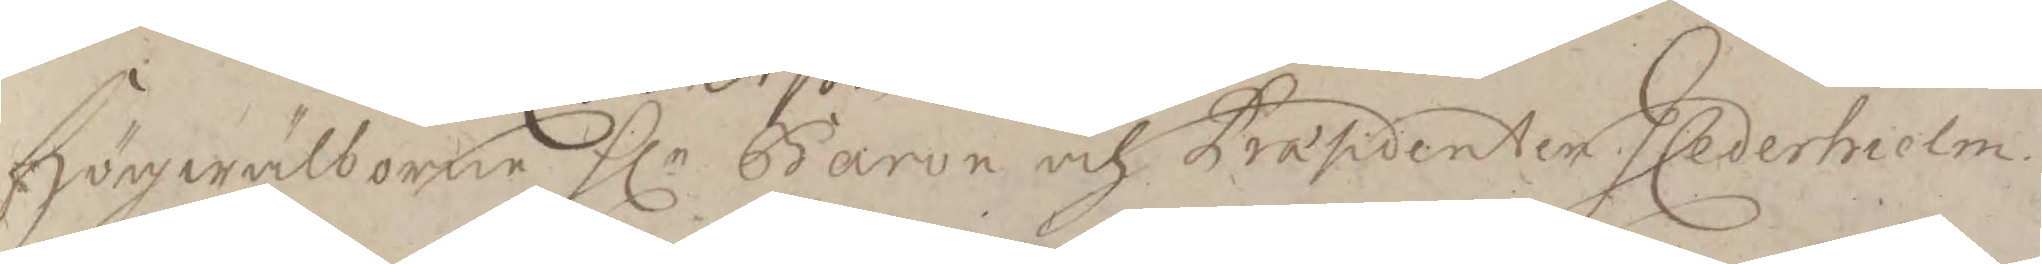Högwälborne Hlr Baron och Præsidenten J Cederholm 
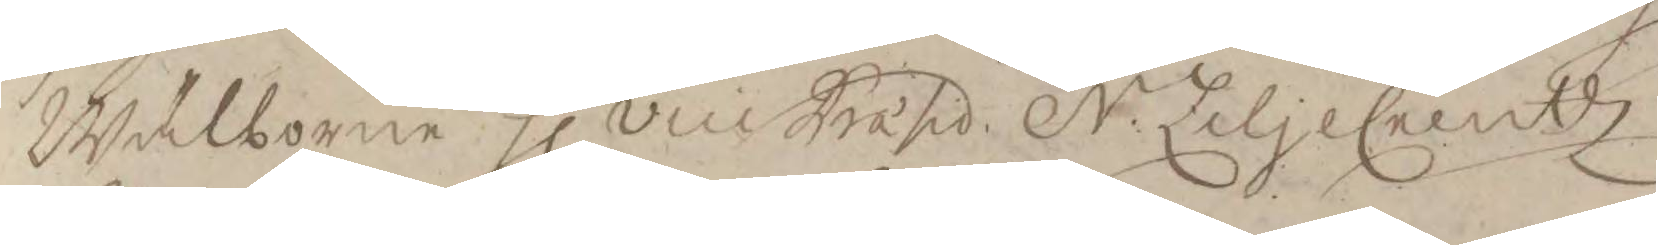Wälborne Hl vice Præsid. N: LiljeCreutz
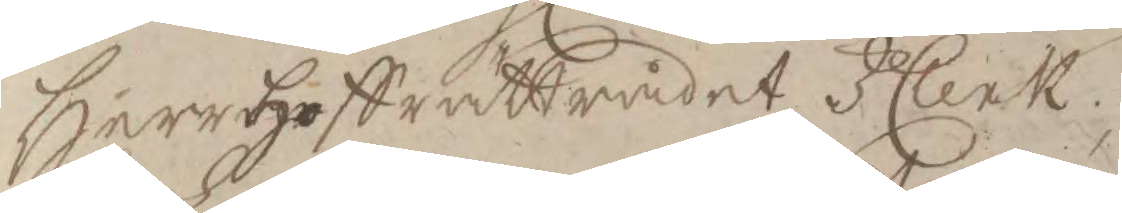Herr hoffrättrådet J Clerk
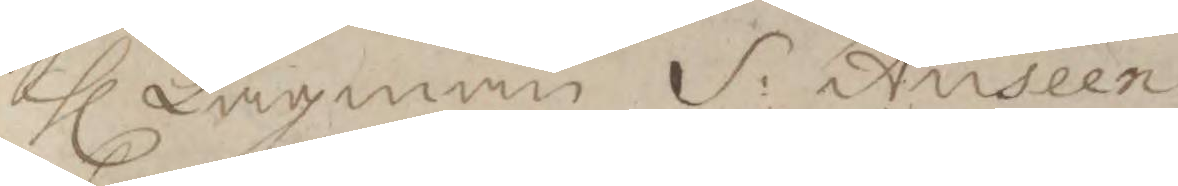Hl Lagman S: Auséen 
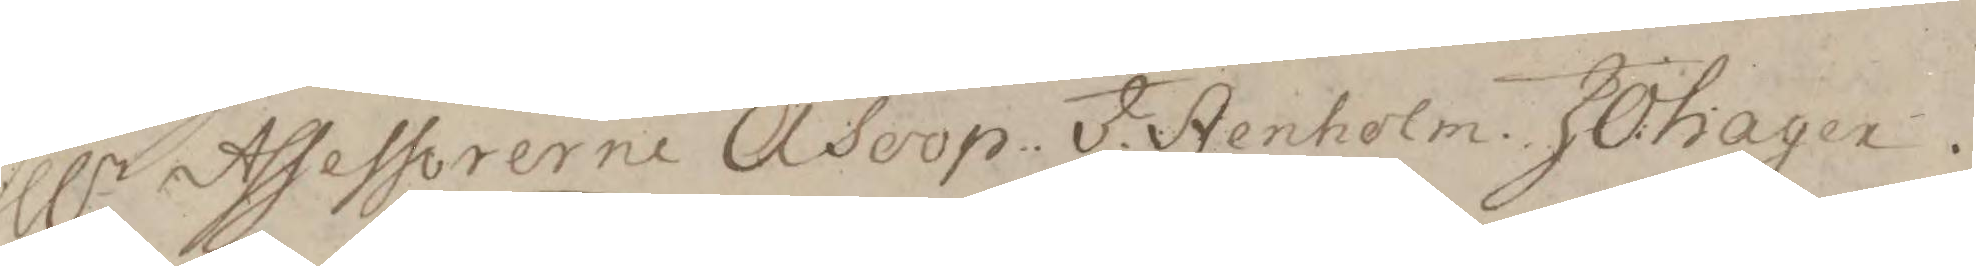Hlr Assessorerne Å Soop: J. Stenholm J:O: hagen. 
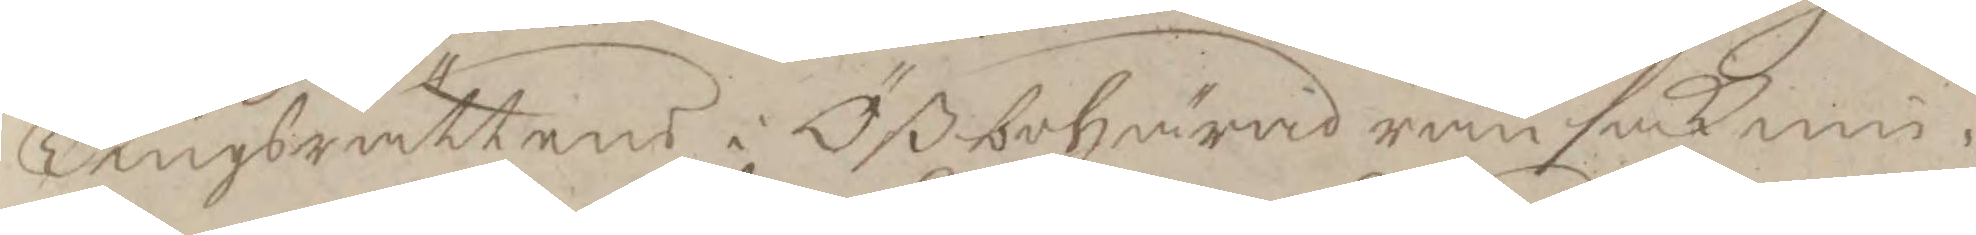Tingsrättens i Ößbohärad ransaknin¬
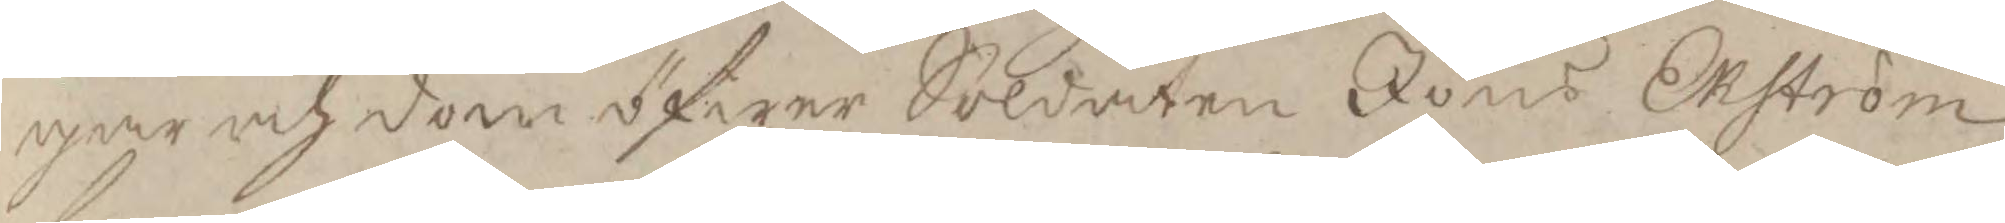gar och dom öfwer Soldaten Jöns Ekström
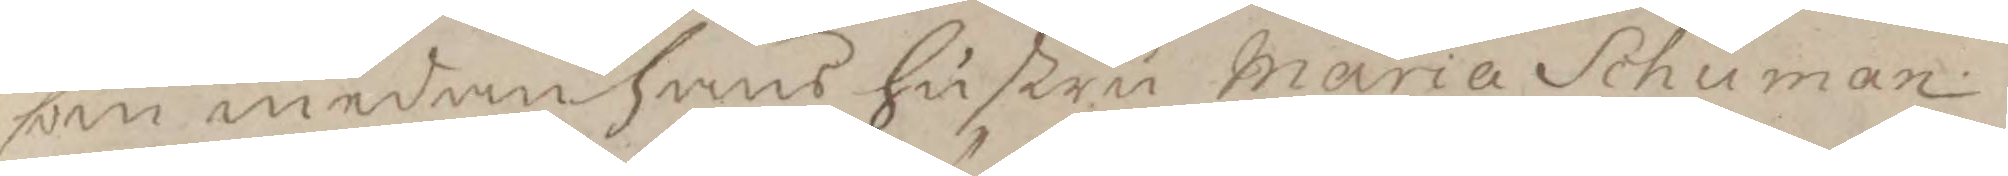som medan hans hustru Maria Schuman
